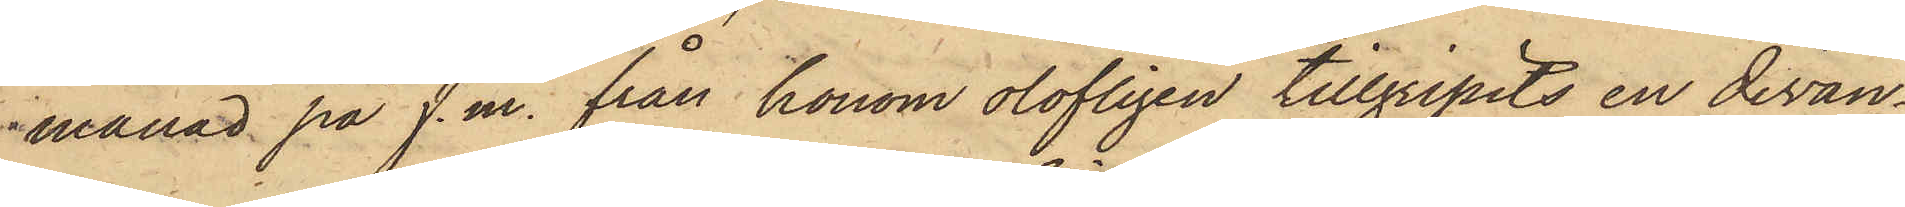månad på f.m. från honom olofligen tillgripits en divan¬
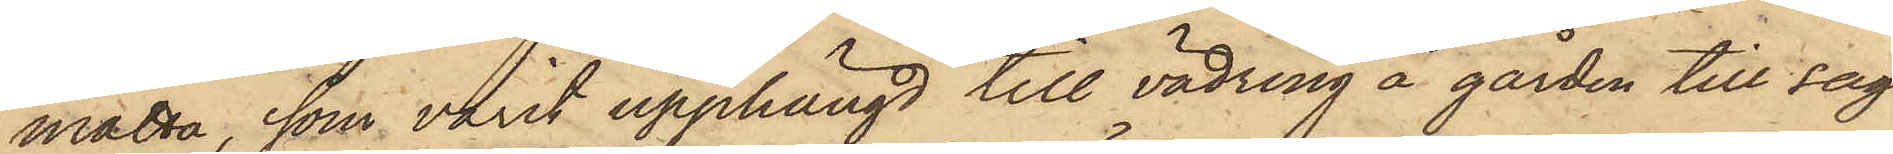matta, som varit upphängd till vädring å gården till sag¬
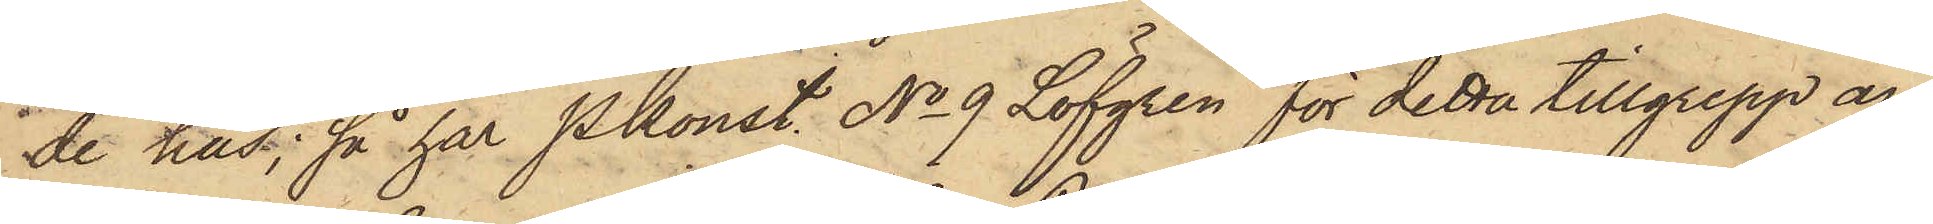de hus; så har Pkonst. No 9 Löfgren för detta tillgrepp an¬
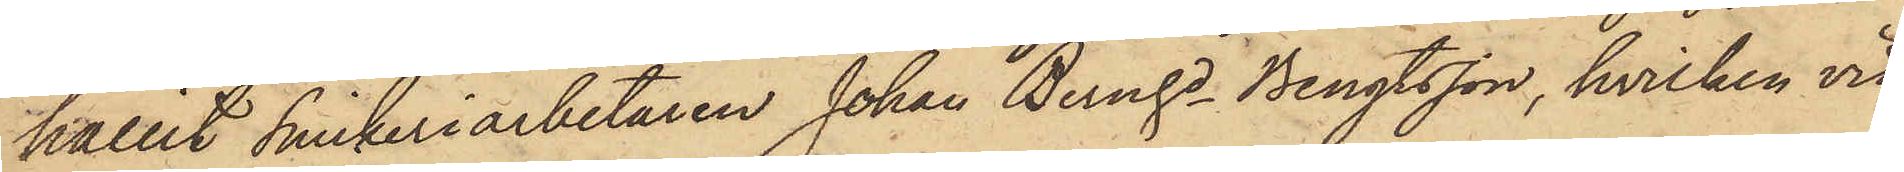hållit Snickeriarbetaren Johan Bernhd Bengtsson, hvilken vid
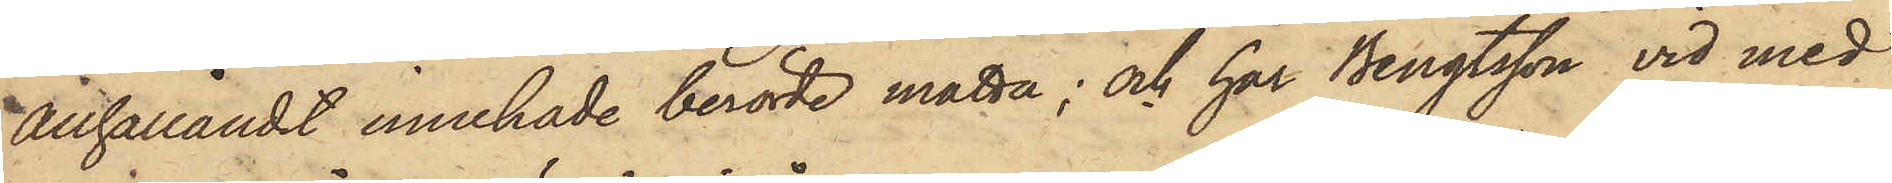anhållandet innehade berörde matta; och har Bengtsson vid med
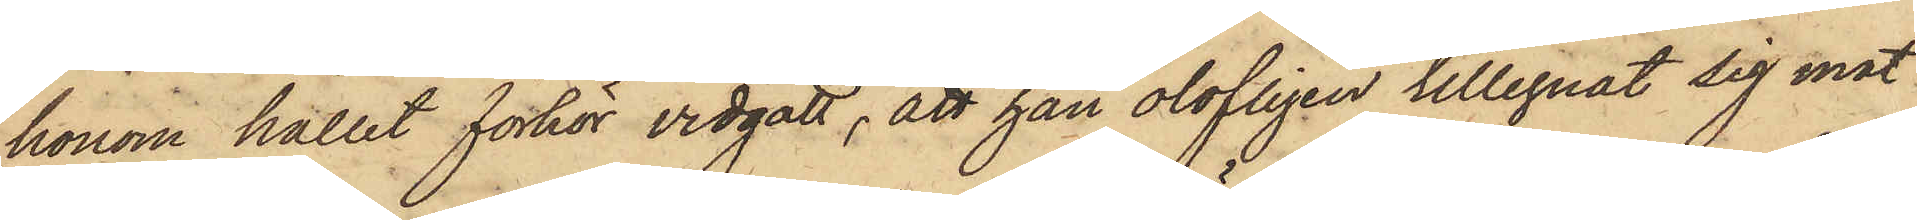honom hållit förhör vidgått, att han olofligen tillegnat sig mat¬
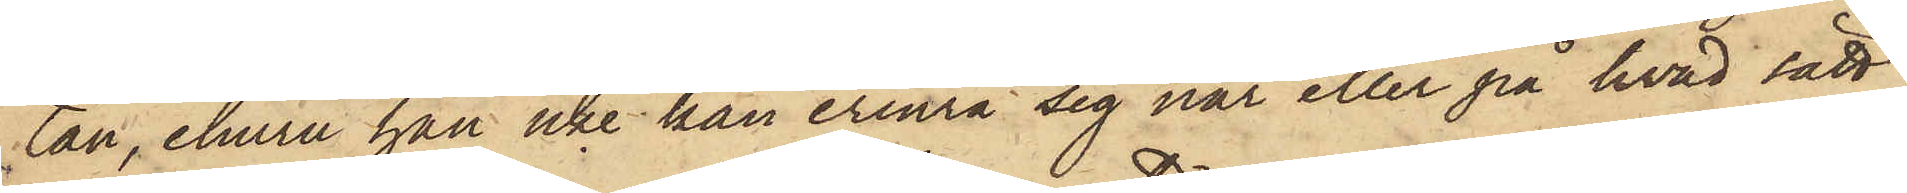tan, ehuru han icke kan erinra sig när eller på hvad sätt
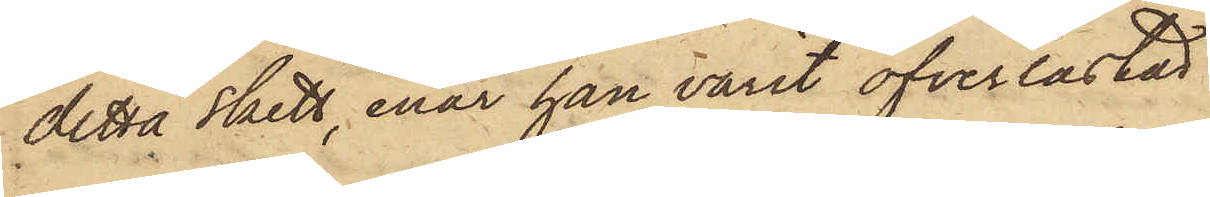detta skett, enär han varit öfverlastad.
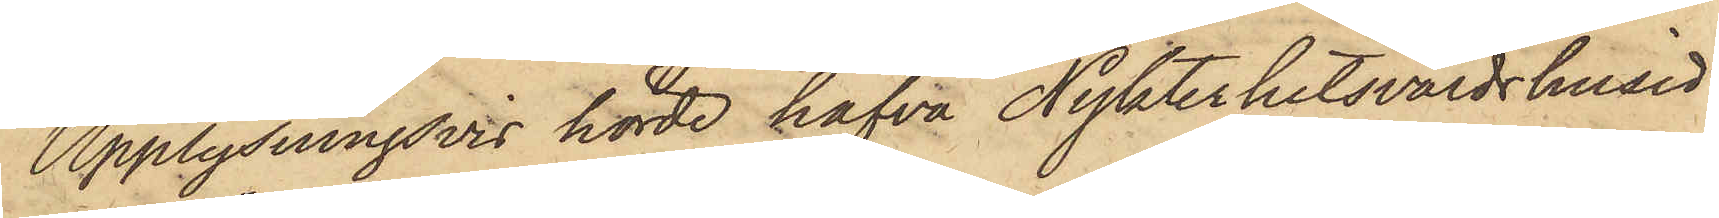Upplysningsvis hörde hafva Nykterhetsvärdshusid¬
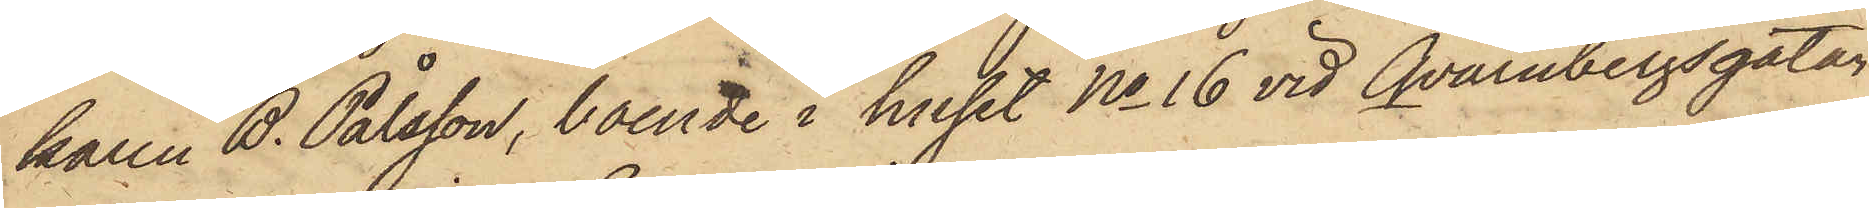karen B. Pålsson, boende i huset No 16 vid Qvarnbergsgatan
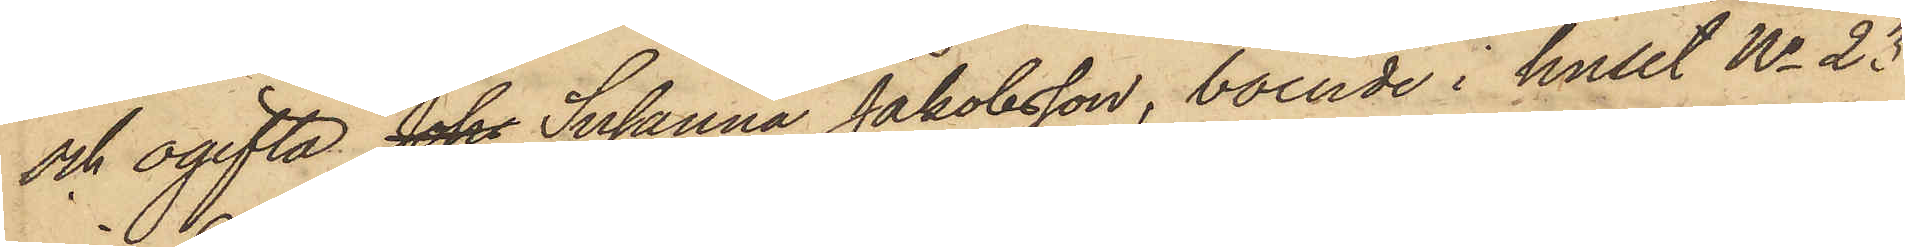och ogifta Johs Susanna Jakobsson, boende i huset No 23
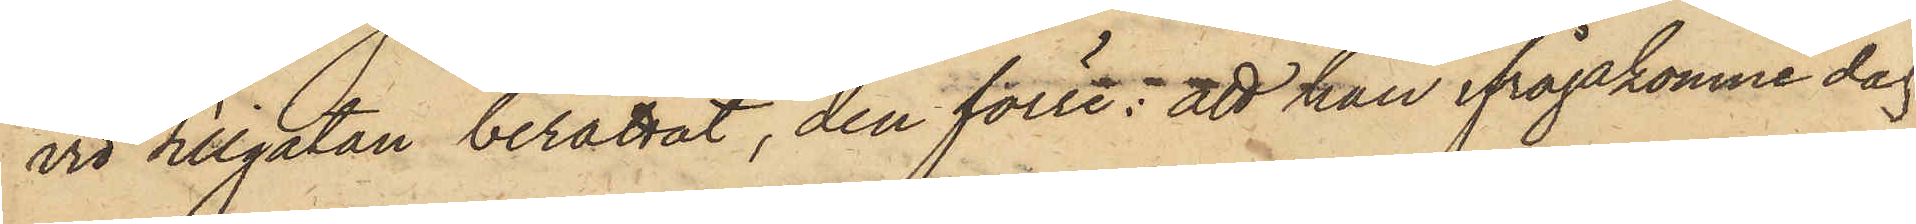vid Sillgatan berättat, den förre: att han ifrågakomne dag
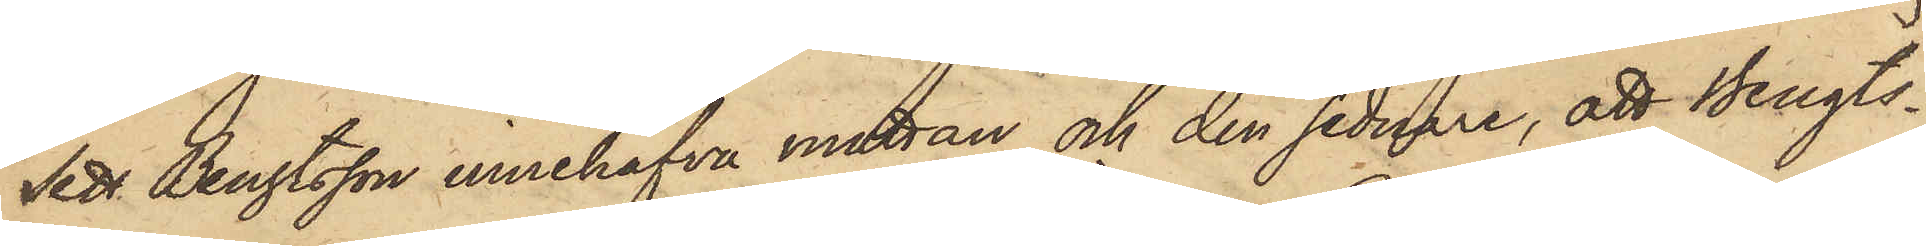sett Bengtsson innehafva matttan och den sednare, att Bengts¬
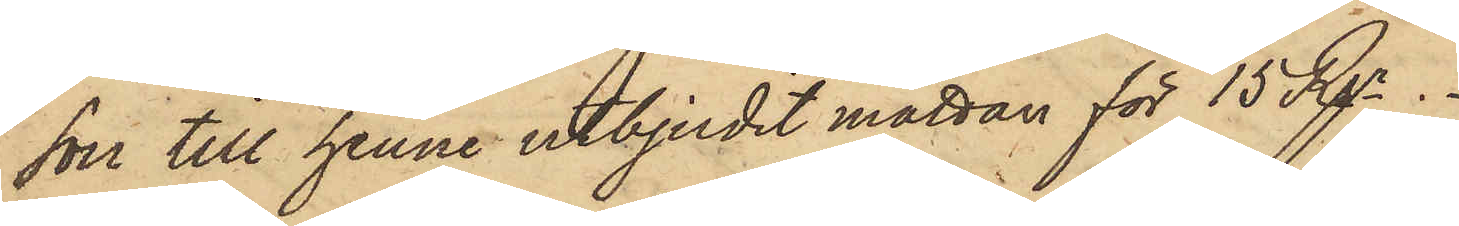sor till henne utbjudit mattan för 15 Rgr.
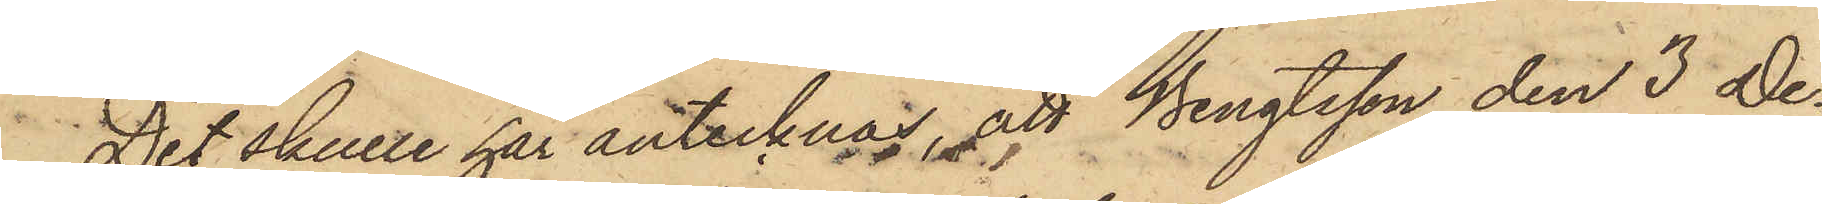Det skulle här antecknas, att Bengtsson den 3 De¬
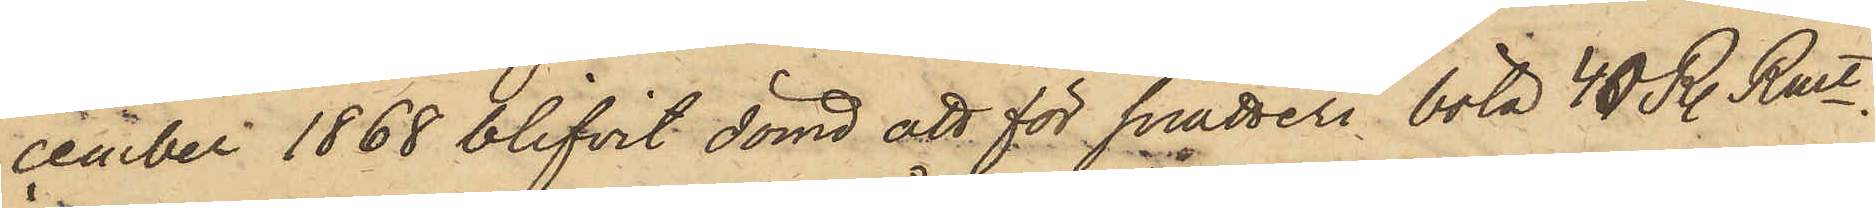cember 1868 blifvit dömd att för snatteri bota 40 R. Rmt.
